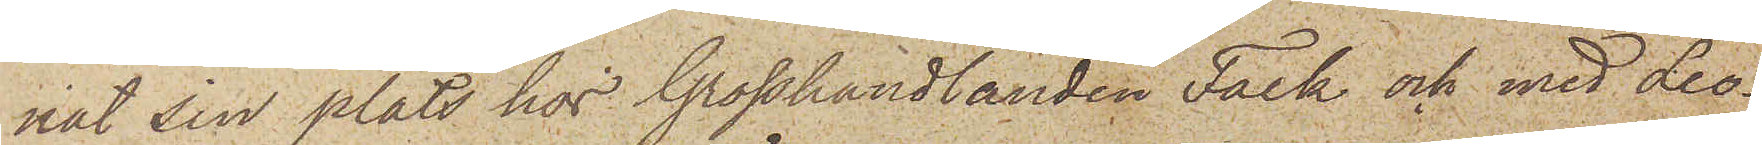nat sin plats hos Grosshandlanden Falk och med Leo¬
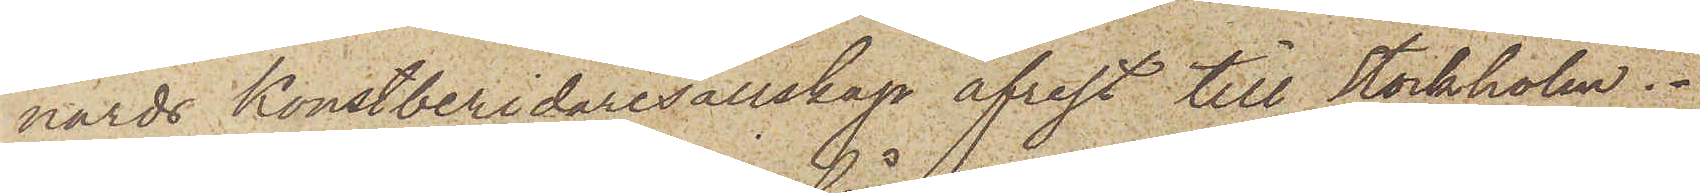nards konstberidaresällskap afrest till Stockholm.
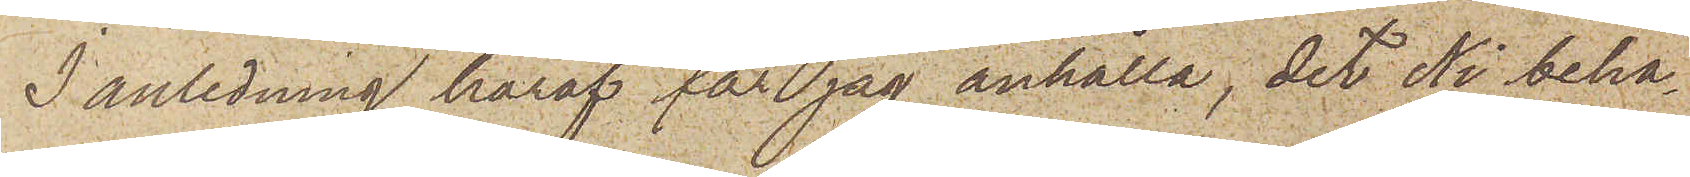I anledning häraf får jag anhålla, det Ni beha¬
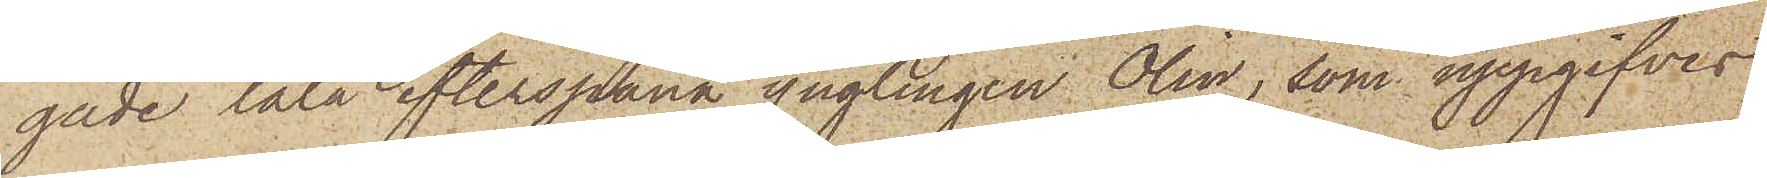gade låta efterspana ynglingen Olin, som uppgifves
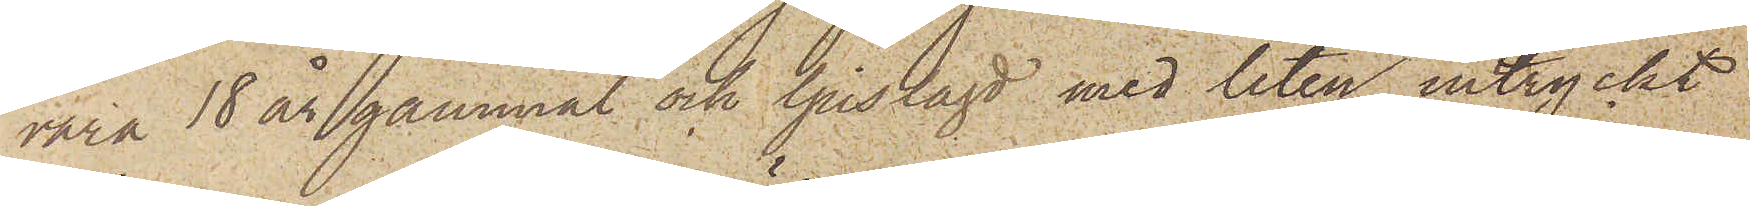vara 18 år gammal och ljuslagd med liten intryckt
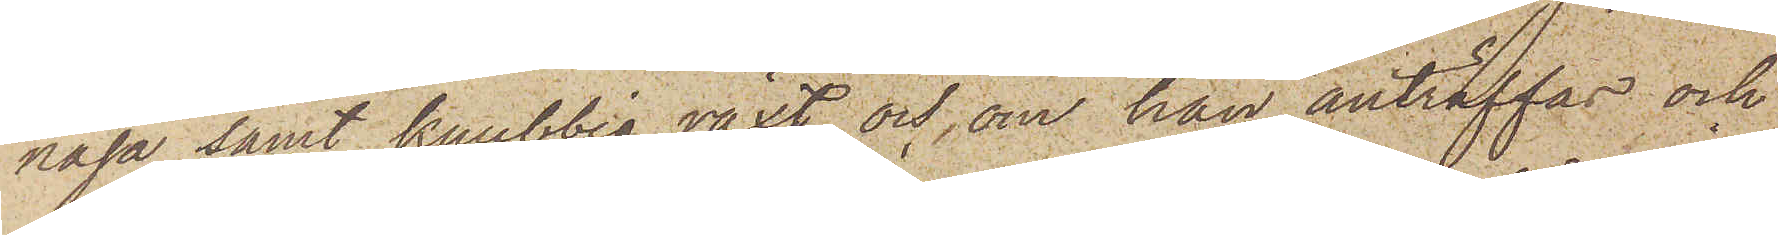näsa samt knubbig växt och, om han anträffas och
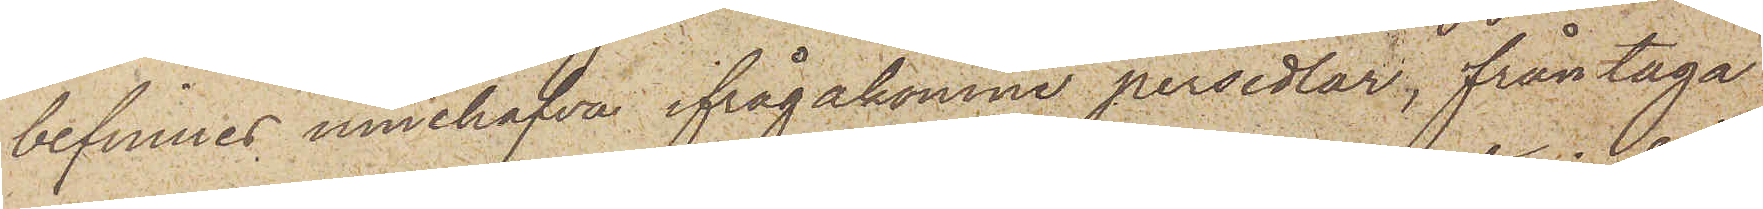befinnes innehafva ifrågakomne persedlar, fråntaga
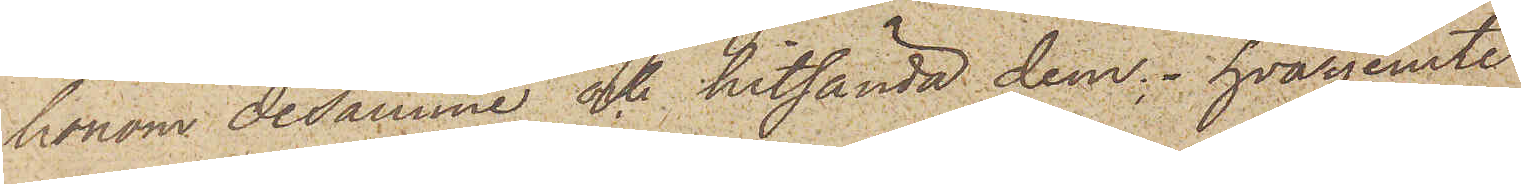honom desamme och hitsända dem; hvarjemte
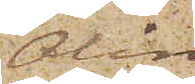Olin
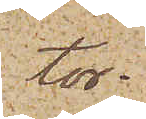tor¬
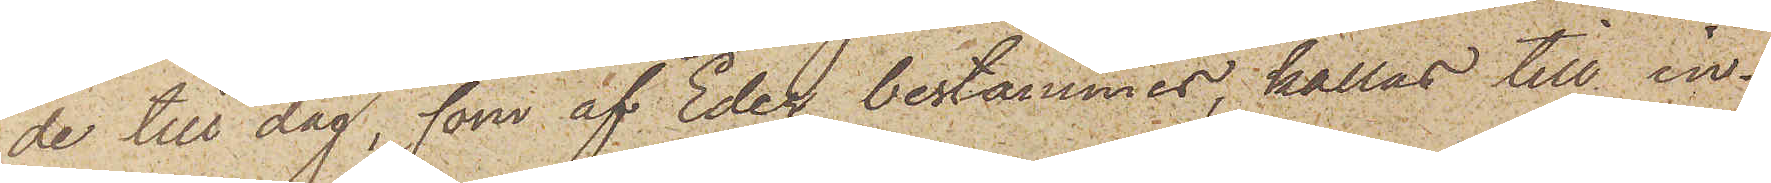de till dag, som af Eder bestämmes, kallas till in¬
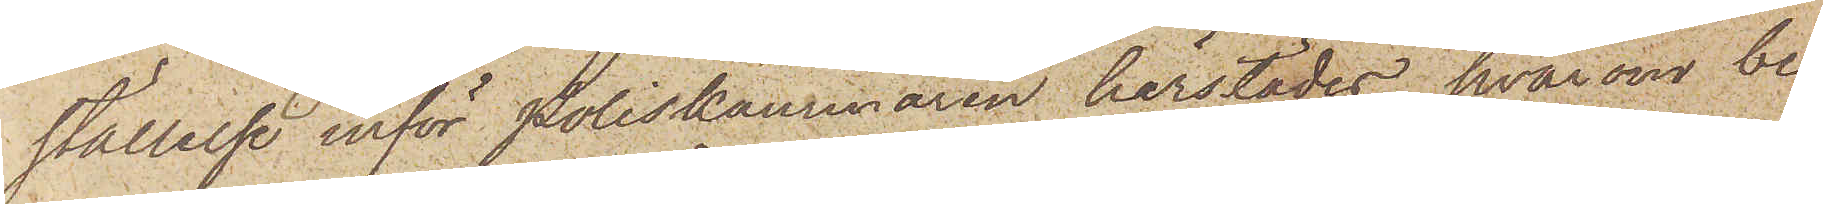ställelse inför Poliskammaren härstädes, hvarom be¬
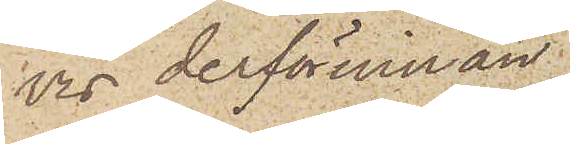vis derförinnan
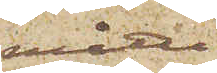måtte
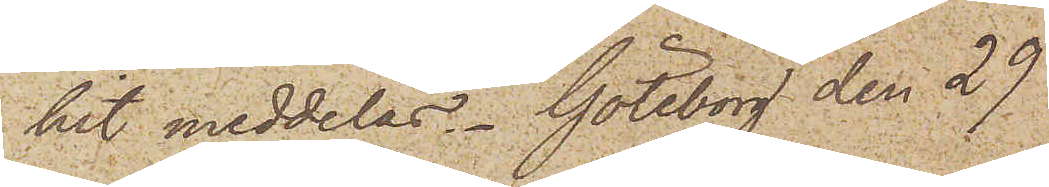hit meddelas. Göteborg den 29
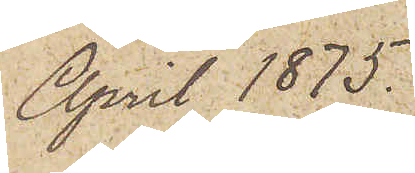April 1875.
